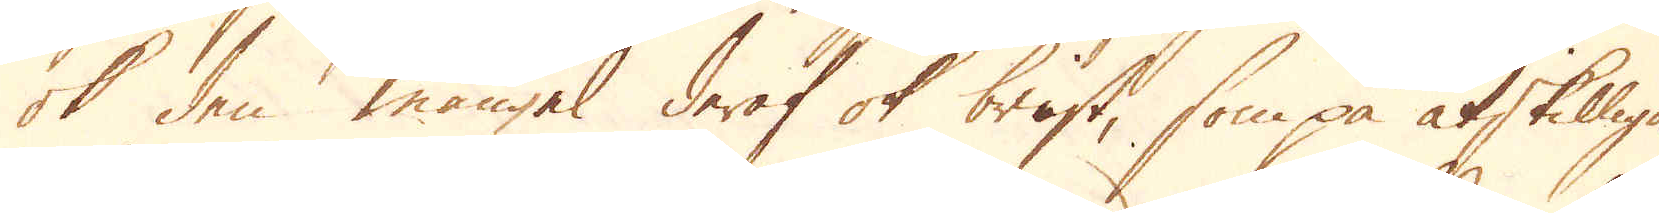ok den mangel deraf ok brist, som på åtskilliga
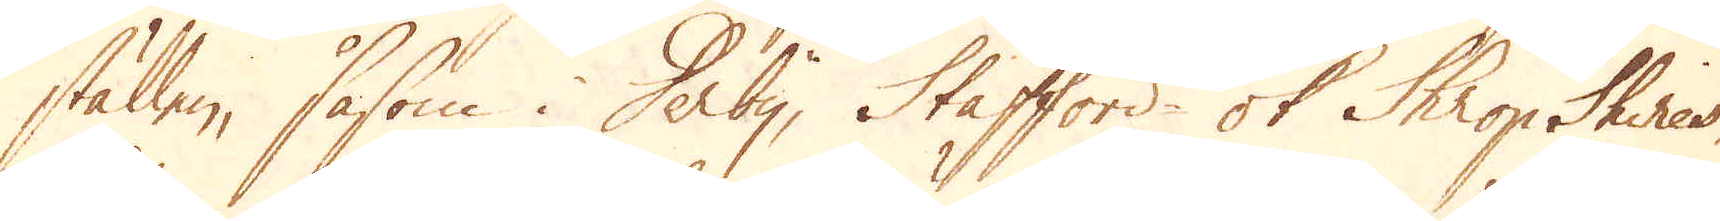ställen, såsom i Derby, Stafford- ok Shrop Shires,
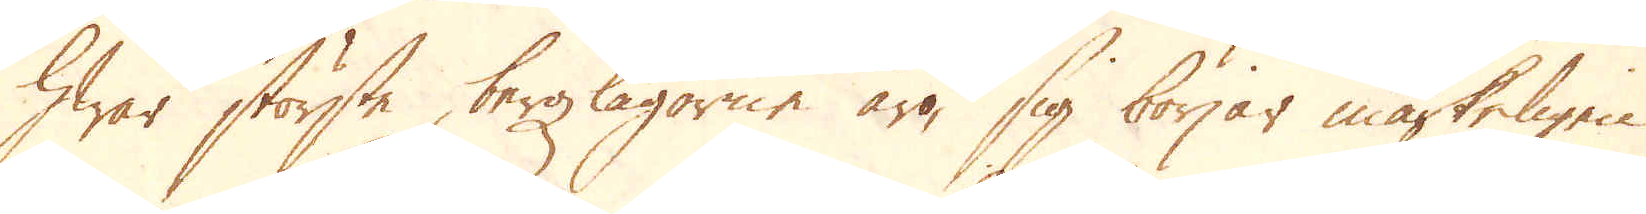hwar störste bergzlagorne äro, sig börjar mästeligen
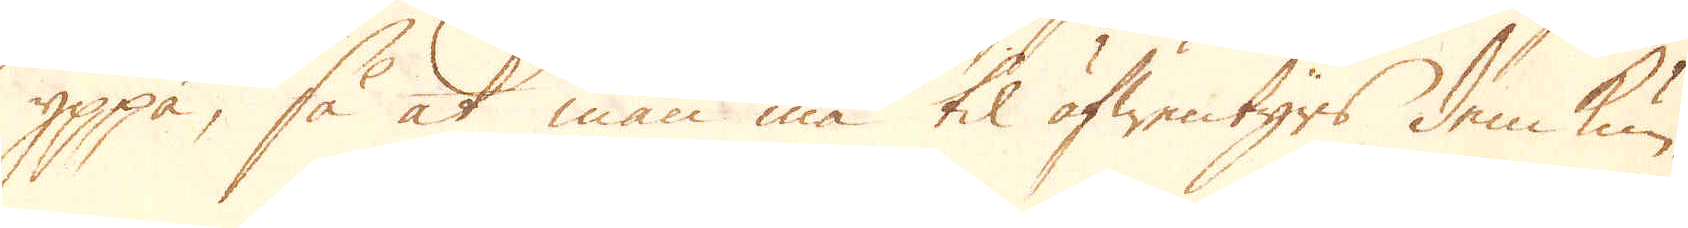yppa, så at man må til äfwentyrs dem kun-
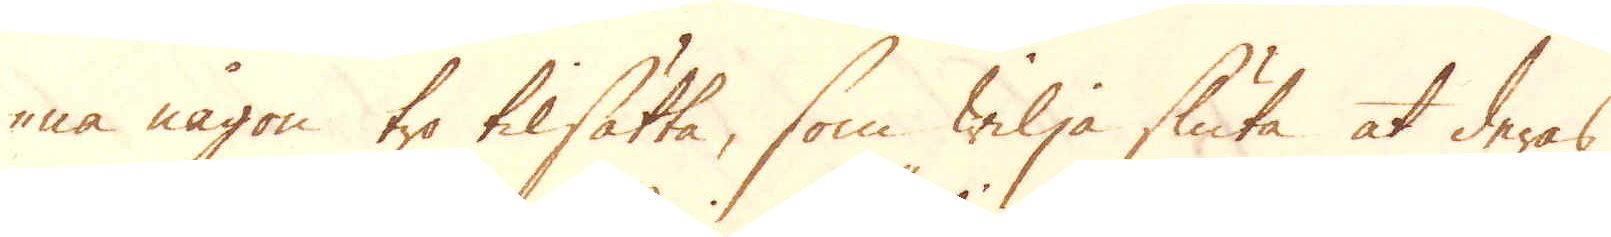-na någon tro tilsätta, som wilja sluta at deras
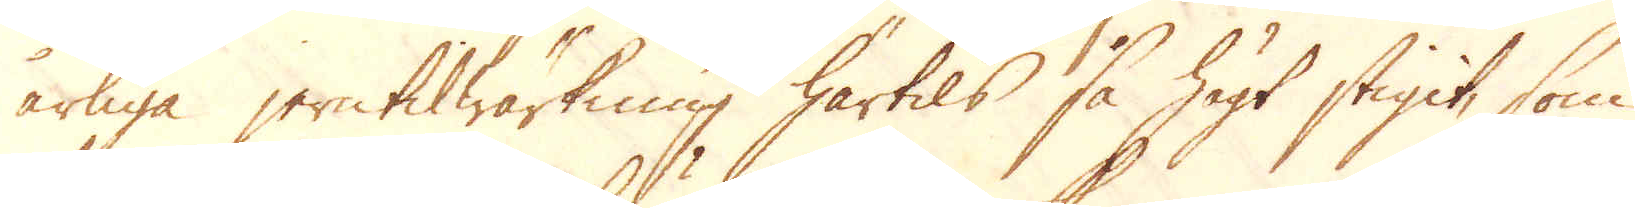årliga jerntilwärkning härtils så högt stigit, som
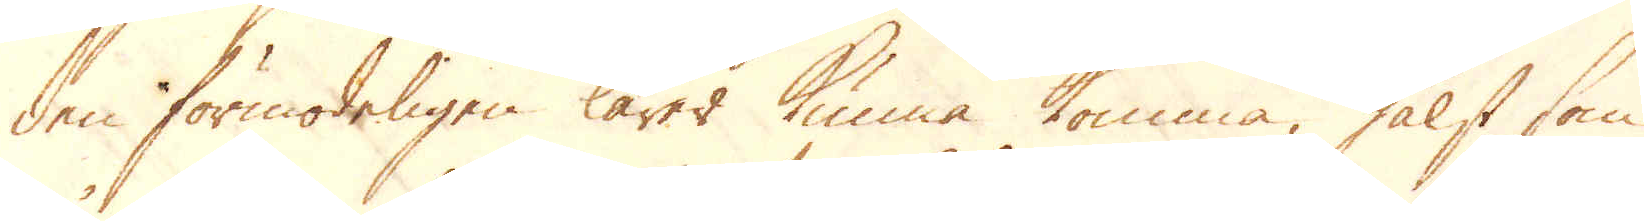den förmodeligen lärer kunna komma, hälst som
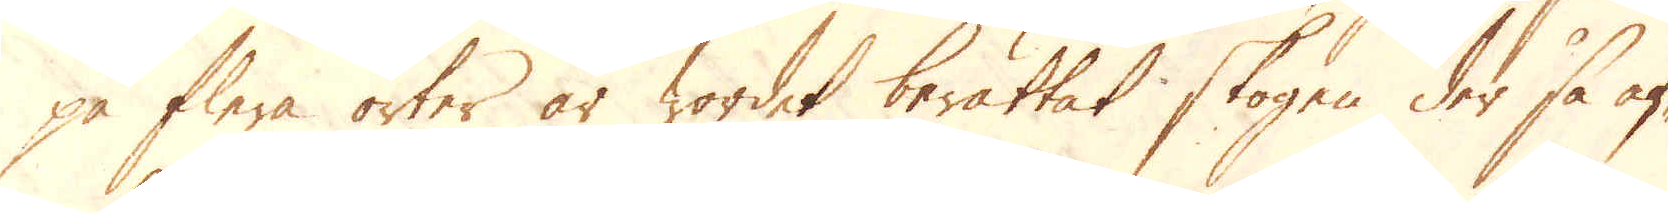på flere orter är wordet berättat skogen der så af-
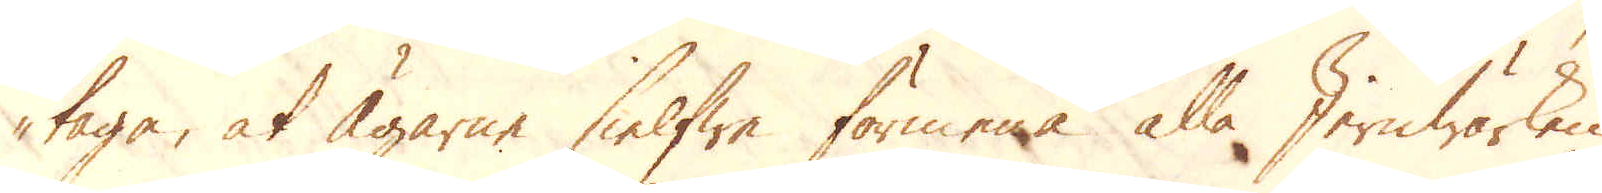taga, at ägarne sielfwe förmena alla Jernwärken
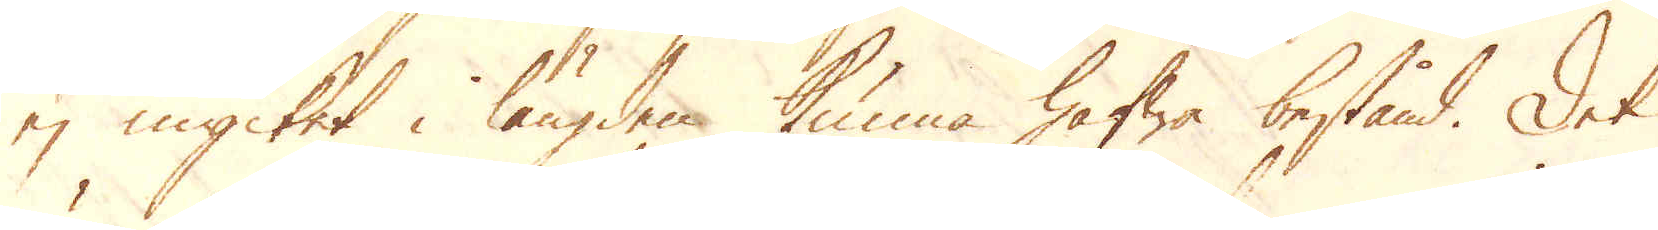ej mycket i längden kunna hafwa bestånd. Det
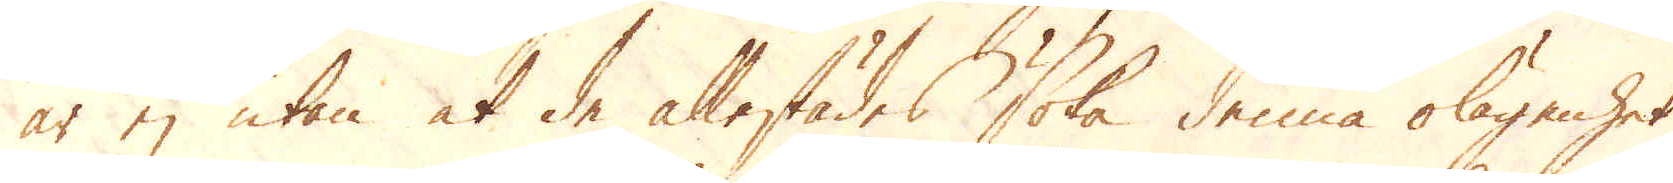är ej utan at de allestädes skola denna olägenhet
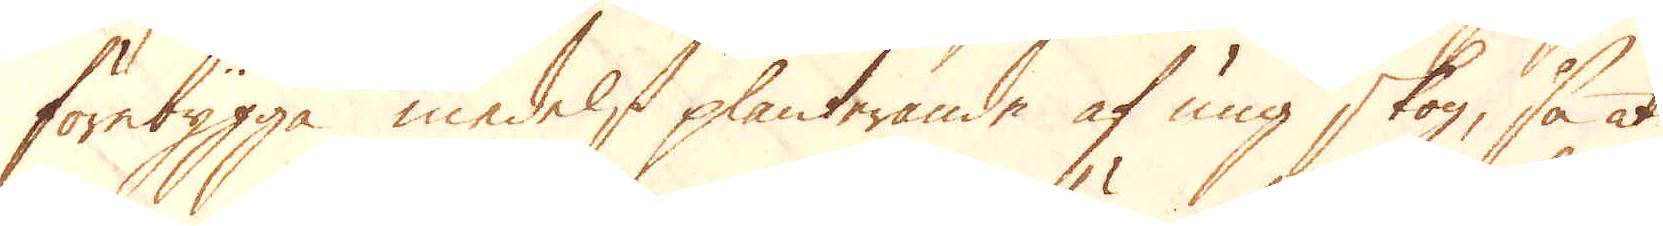förebygga medelst planterande af ung skog, så at
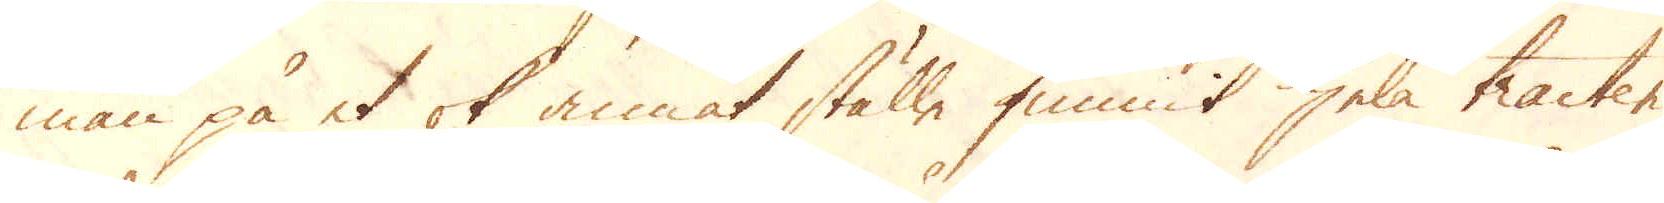man på et ok annat ställe funnit hela tracter
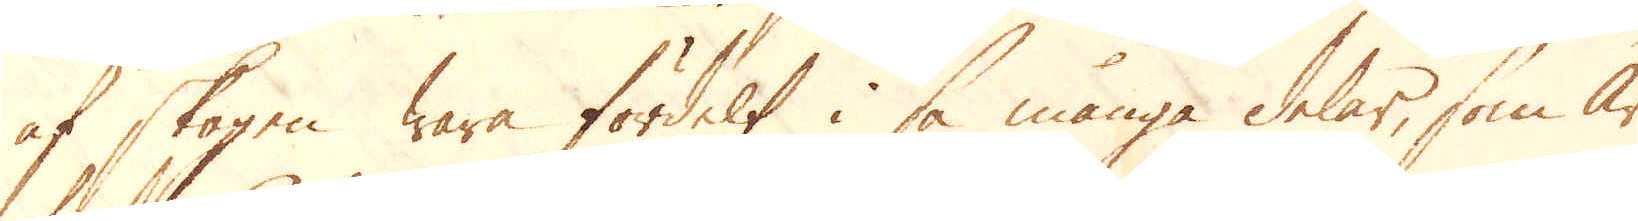af skogen wara fördelt i så många delar, som år
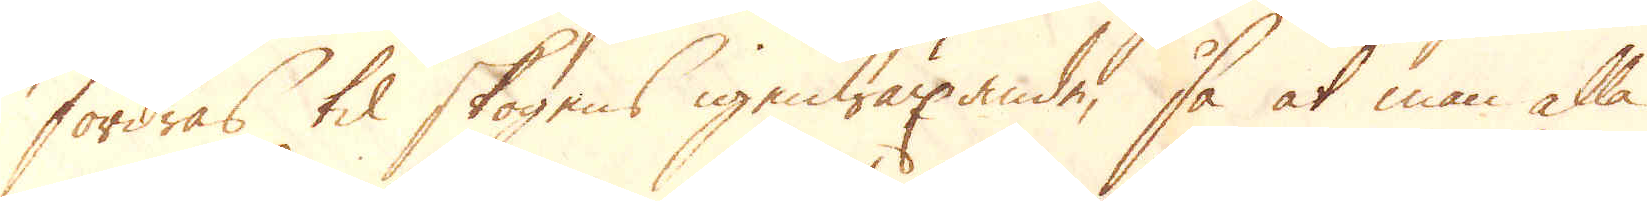fordras til skogens igenwäxande, så at man alla
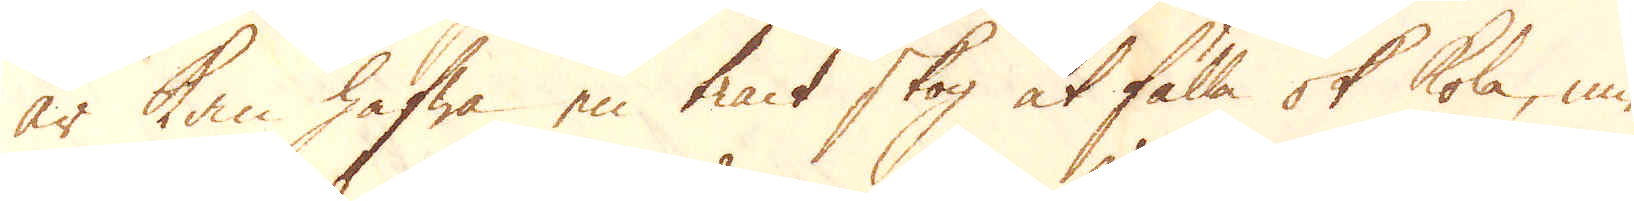år kan hafwa en tract skog at fälla ok kola, imed-
